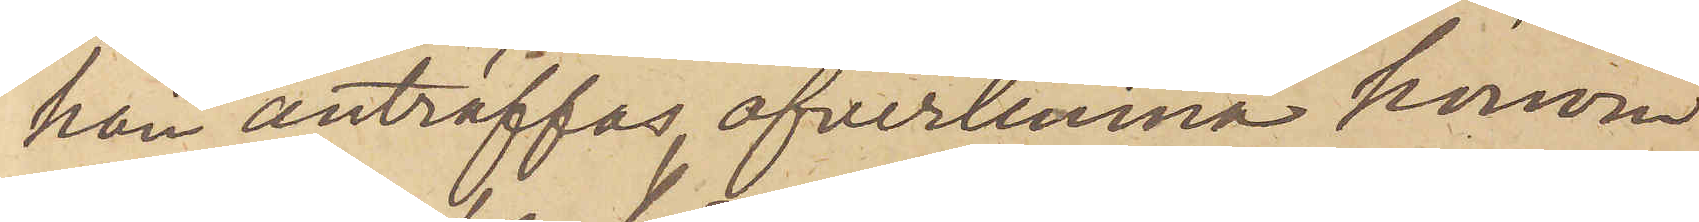han anträffas, öfverlemna honom
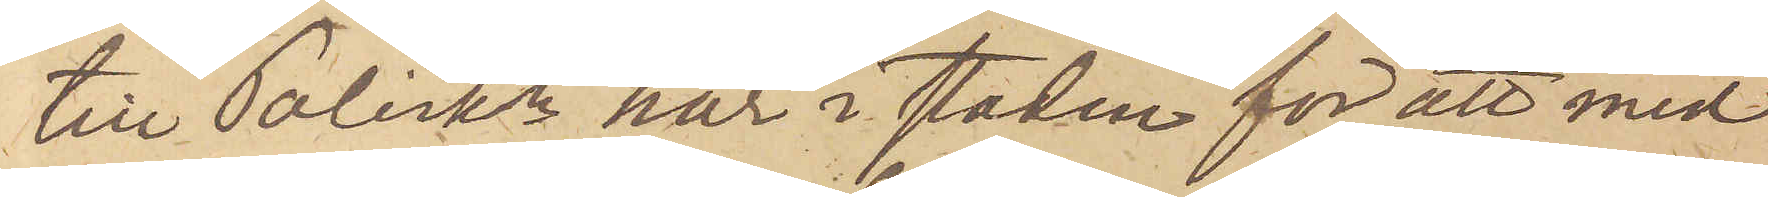till Poliskn här i staden för att med
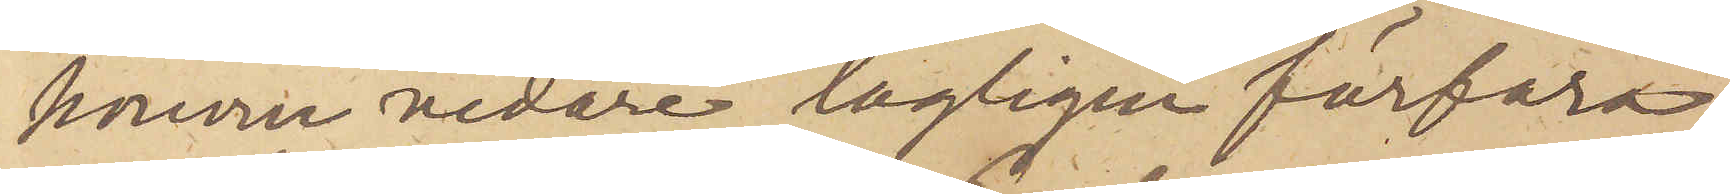honom vidare lagligen förfara.
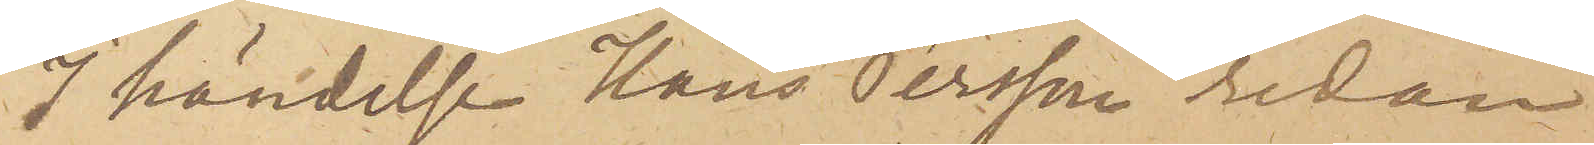I händelse Hans Persson redan
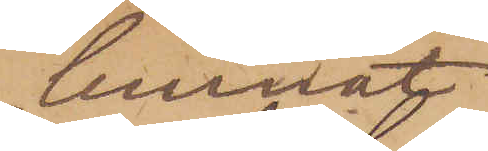lemnat
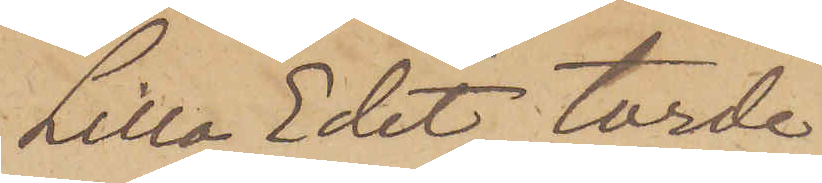Lilla Edet, torde
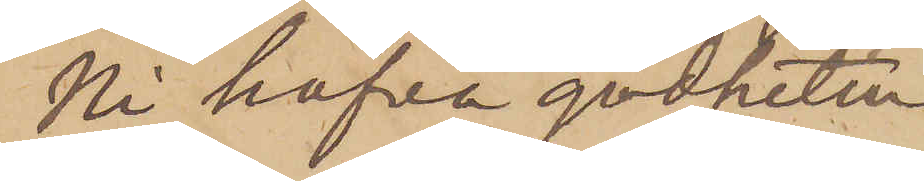Ni hafva godheten
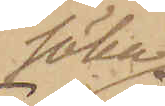söka
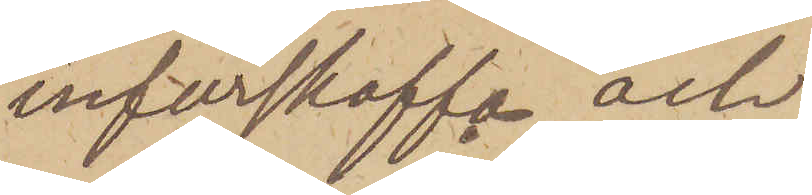införskaffa och
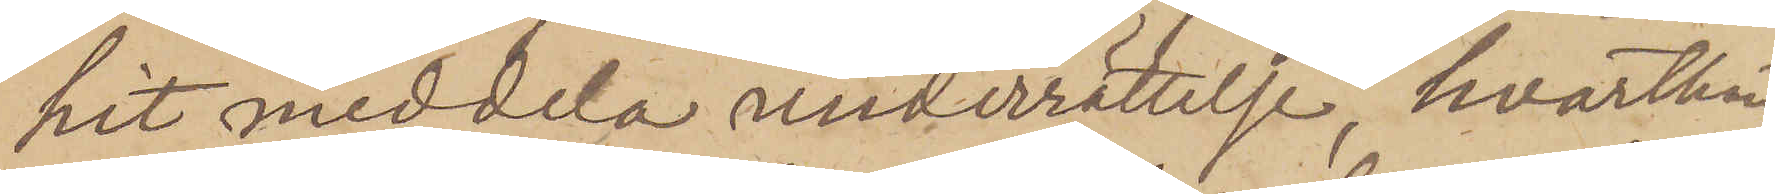hit meddela underrättelse, hvarthän
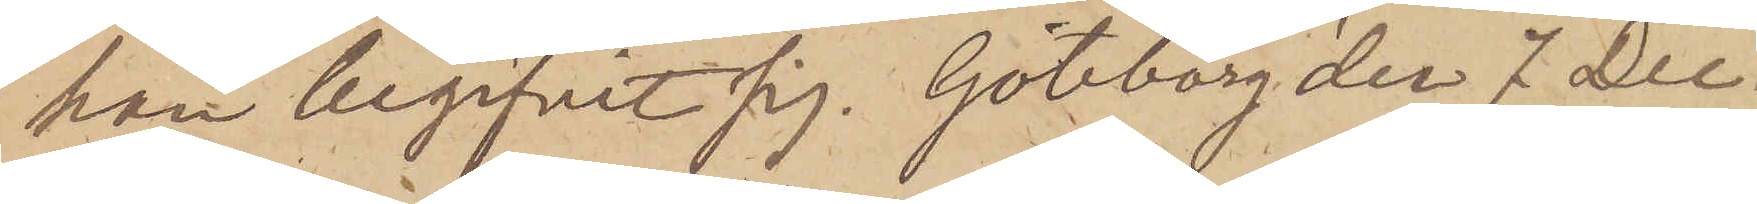han begifvit sig. Göteborg den 7 Dec.
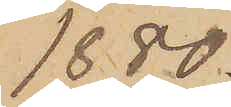1880.
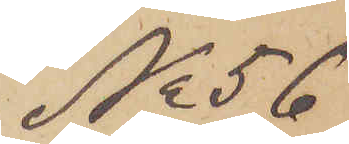No 56
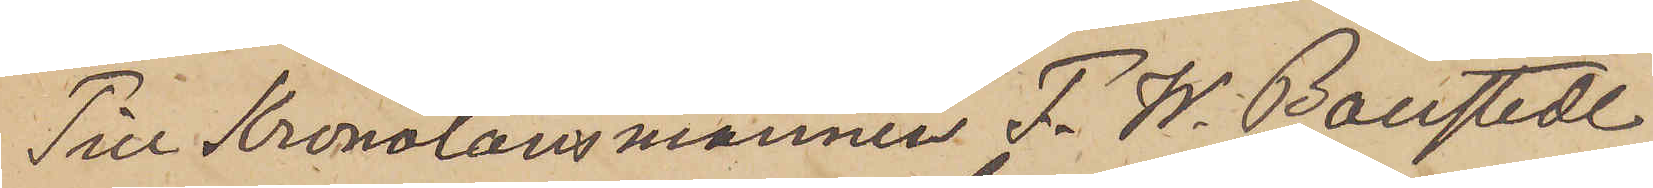Till Kronolänsmannen F. W. Boustedt
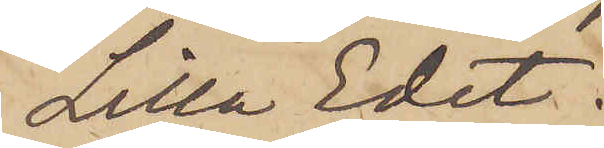Lilla Edet.
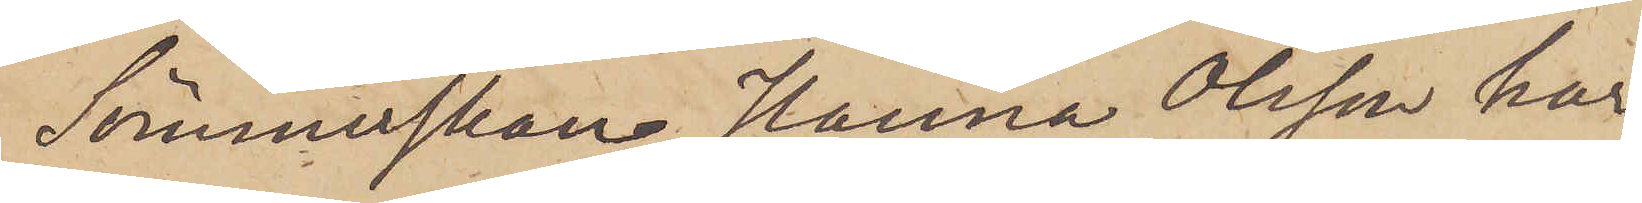Sömmerskan Hanna Olsson har
